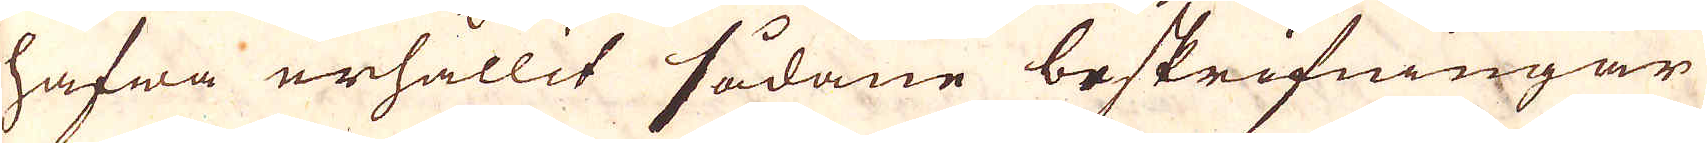hafwa erhållit sådane beskrifningar
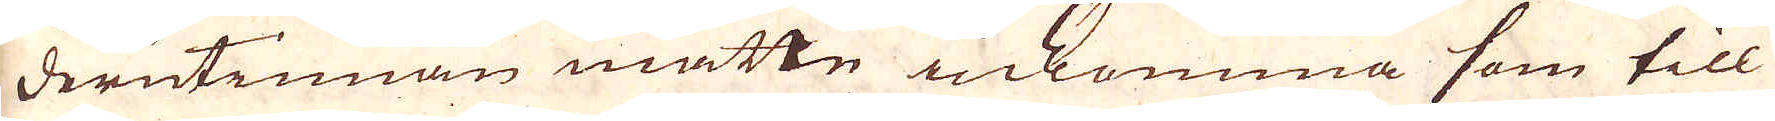derutinnan måtte inkomma som till
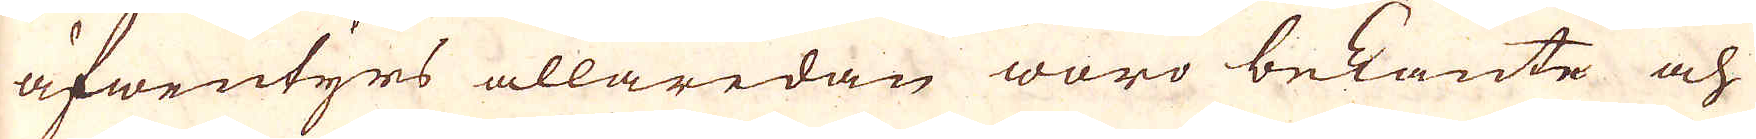äfwentyrs allaredan woro bekante och
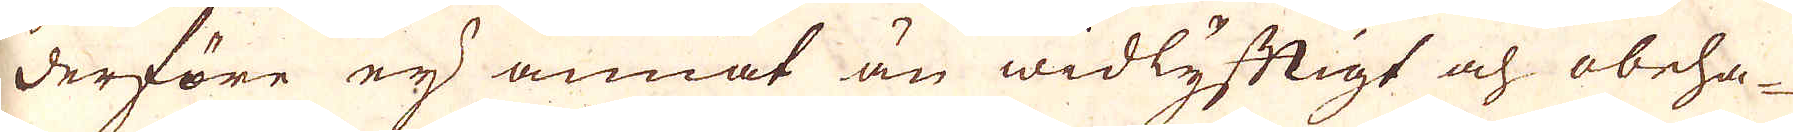derföre ey annat än widlyftigt och obeha-
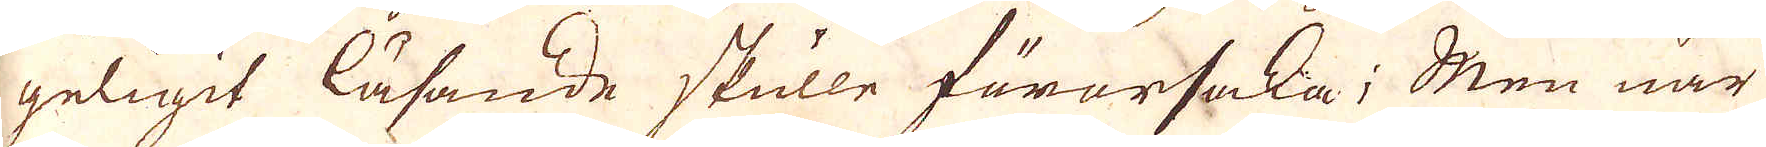geligit läsande skulle förorsaka; Men när
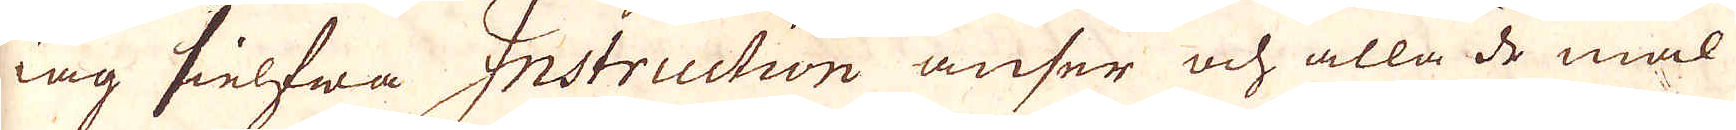iag sielfwa Instruction anser och alla de mål
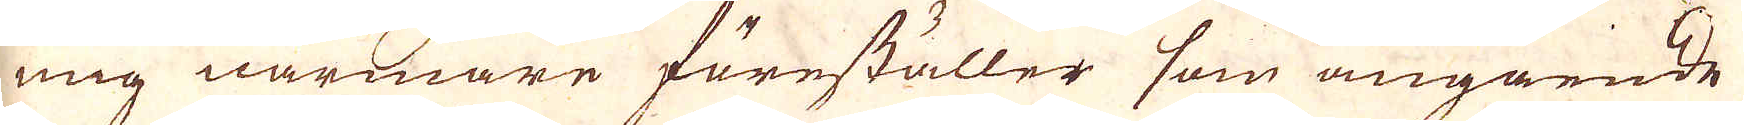mig närmare föreställer som angående
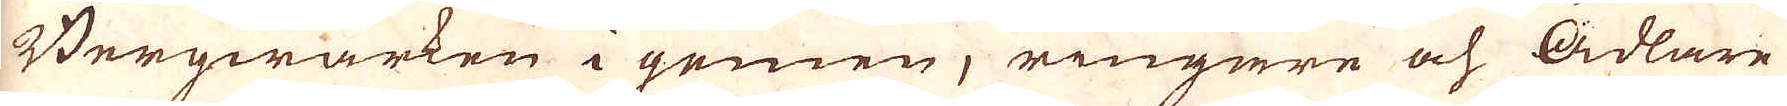Bergwärken i gemen; ringare och ädlare
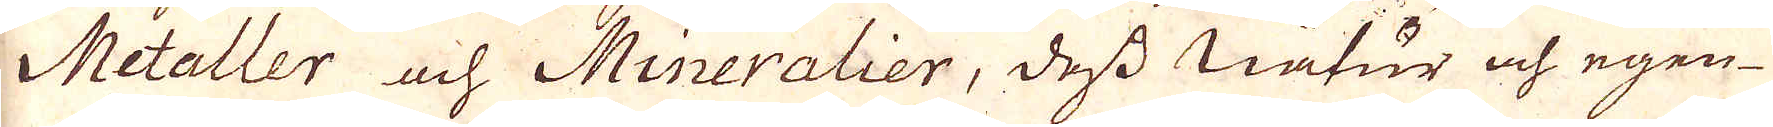Metaller ach Mineralier, dess natur och egen-
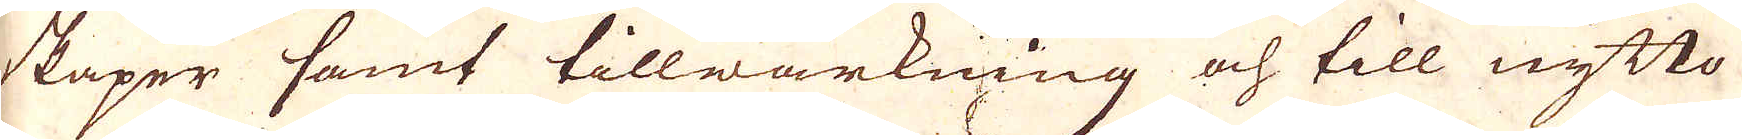skaper samt tillwärkning och till nytto
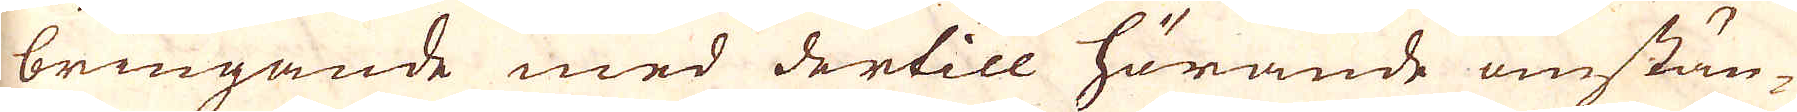bringande med dertill hörande omstän-
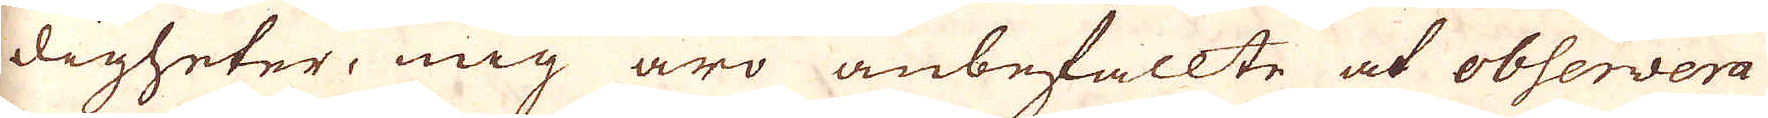digheter, mig äro anbefallte at observera
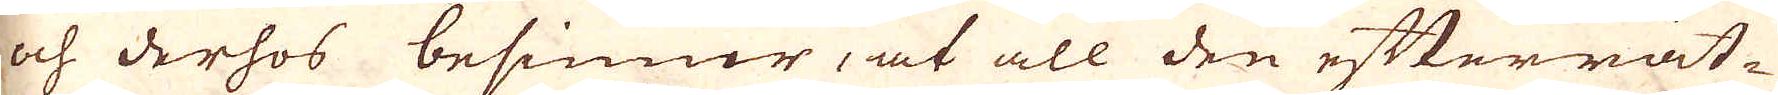och derhos befinner, at all den efterrät-
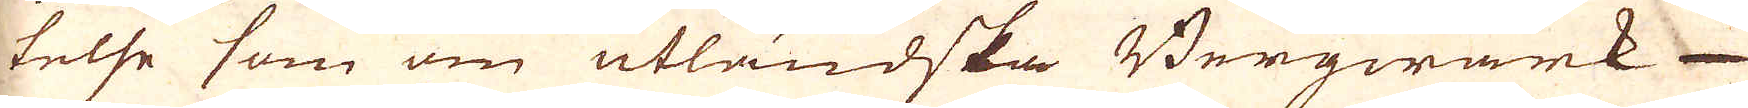telse som om utländska Bergwärk-
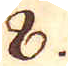8.
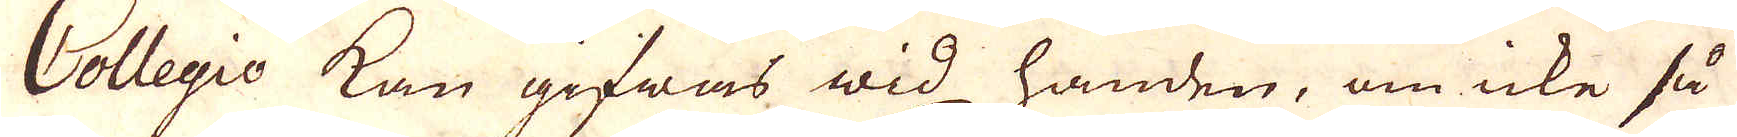Collegio kan gifwas wid handen, om icke så
